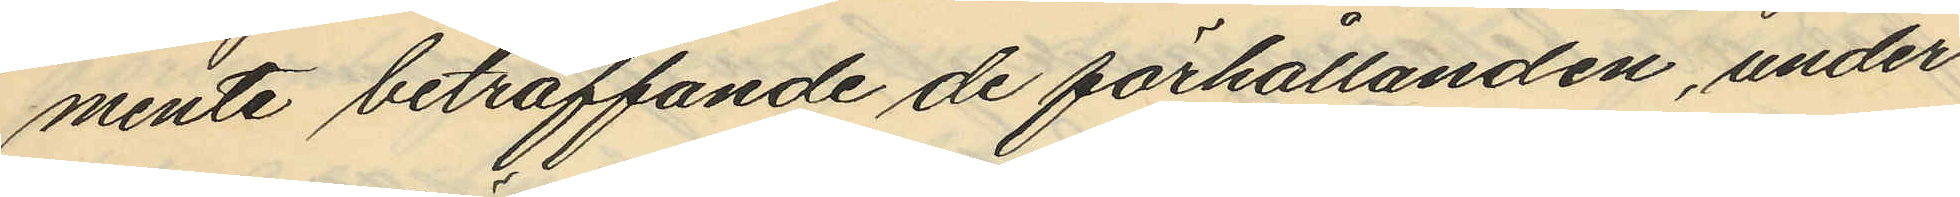mente beträffande de förhållanden, under
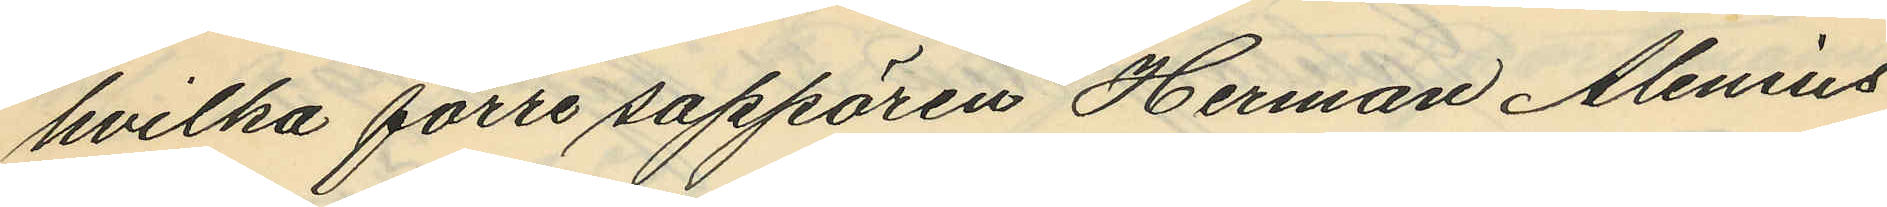hvilka förre sappören Herman Alenius
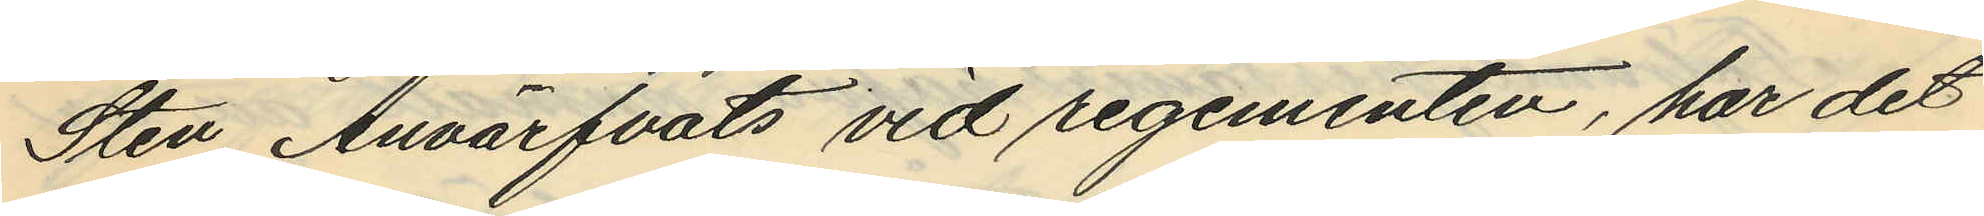Sten Anvärfvats vid regementen, har det
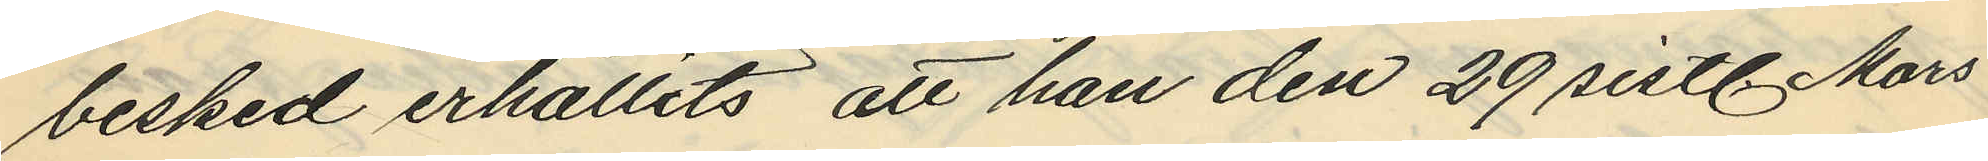besked erhållits att han den 29 sistl. Mars
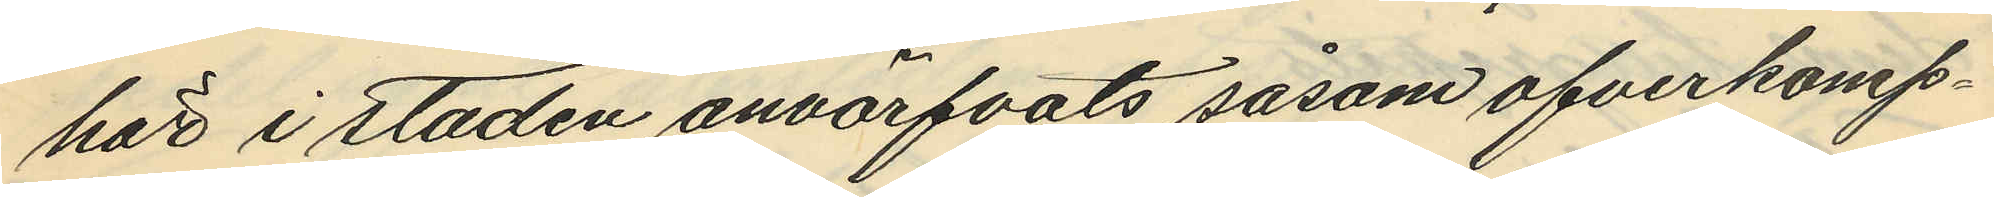här i staden anvärfvats såsom ofverkomp¬
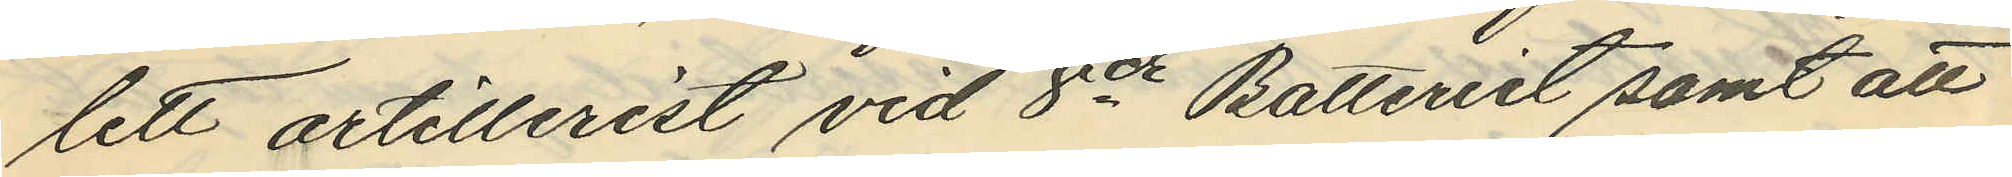lett artillerist vid 8de Batteriet samt att
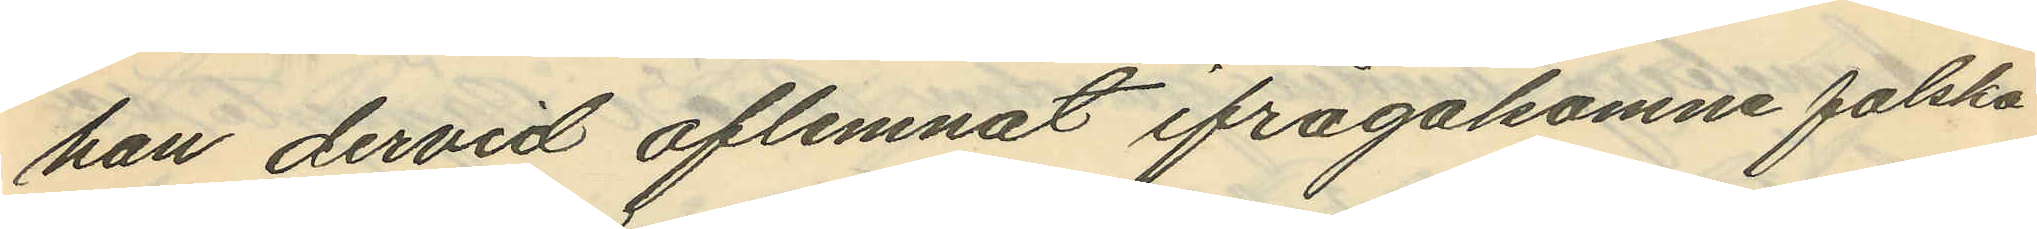han dervid aflemnat ifrågakomne falska
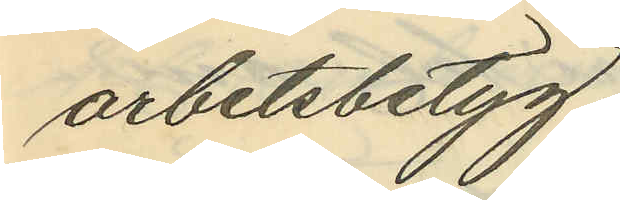arbetsbetyg.
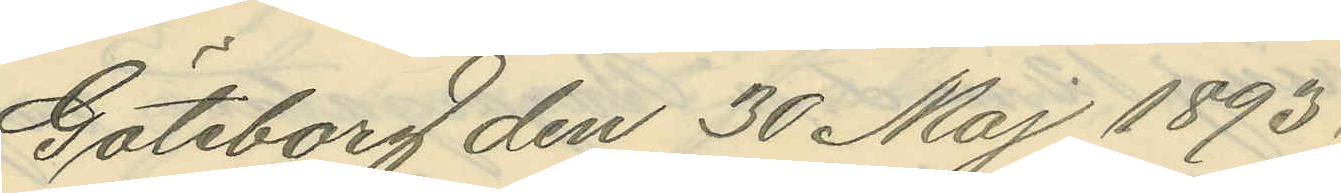Göteborg den 30 Maj 1893.
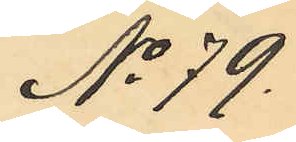No 79.
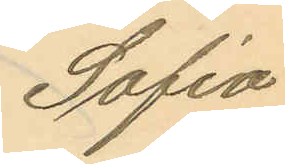Sofia
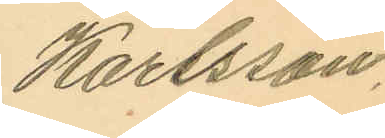Karlsson.
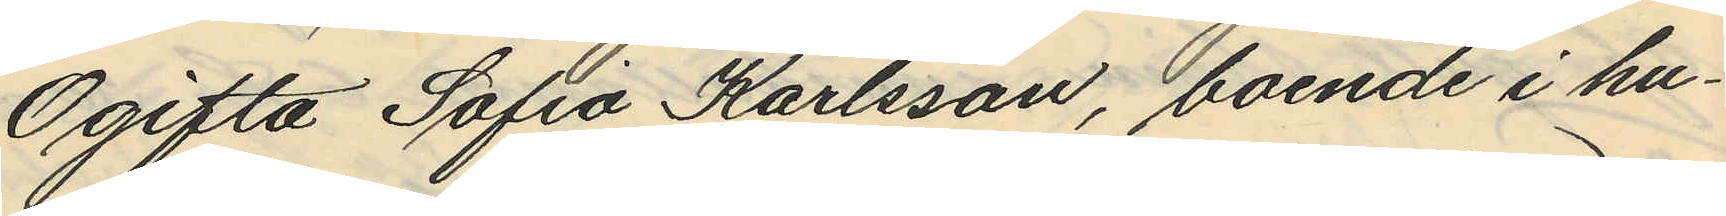Ogifta Sofia Karlsson, boende i hu¬
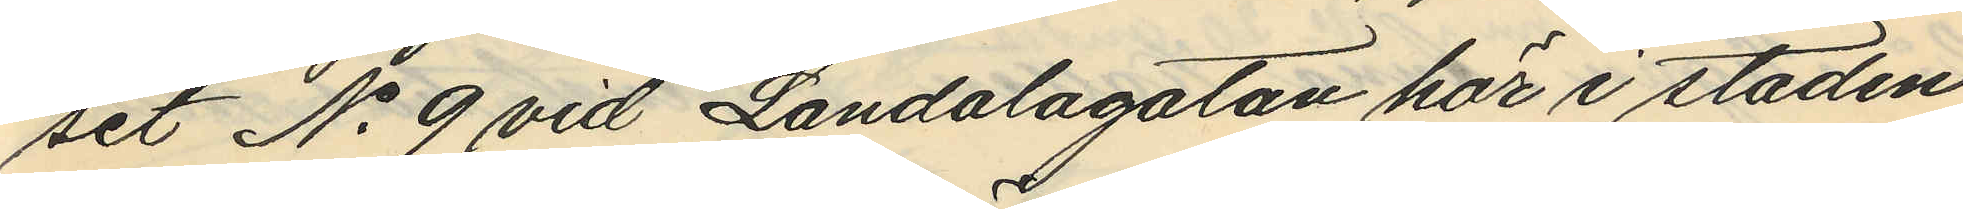set No 9 vid Landalagatan här i staden
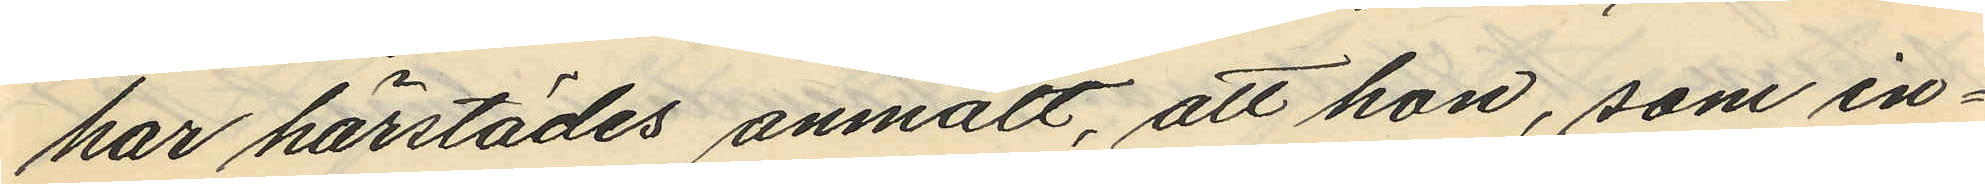har härstädes anmält, att hon, som in¬
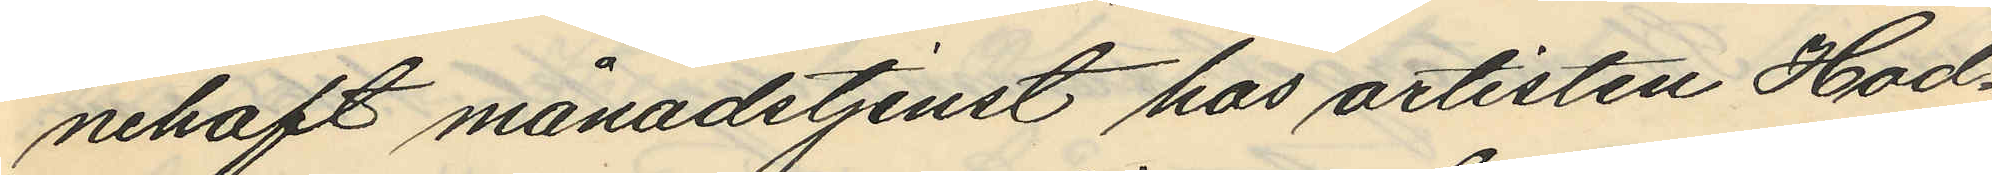nehaft månadstjenst hos artisten Hod¬
